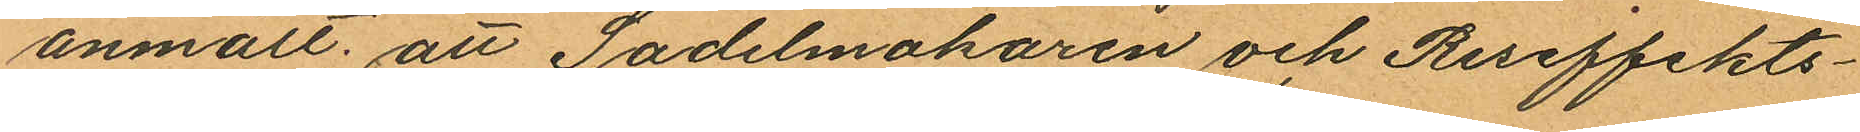anmält: att Sadelmakaren och Reseffekts¬
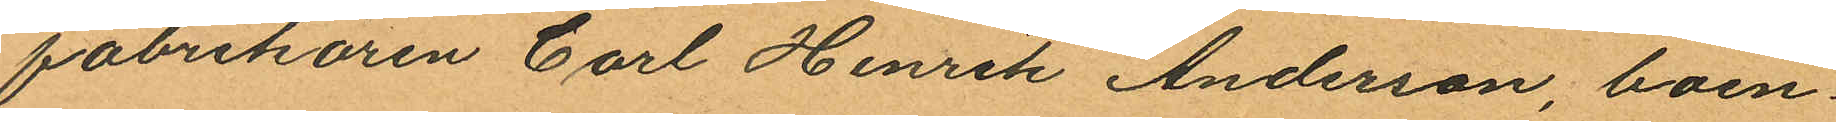fabrikören Carl Henrik Anderson, boen¬
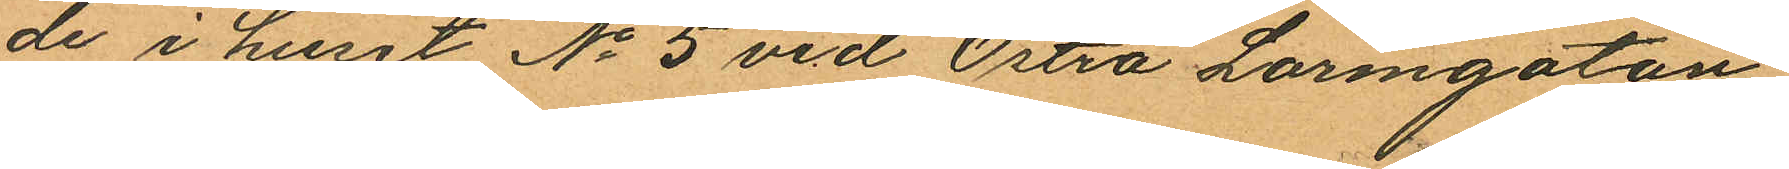de i huset No 5 vid Östra Larmgatan,
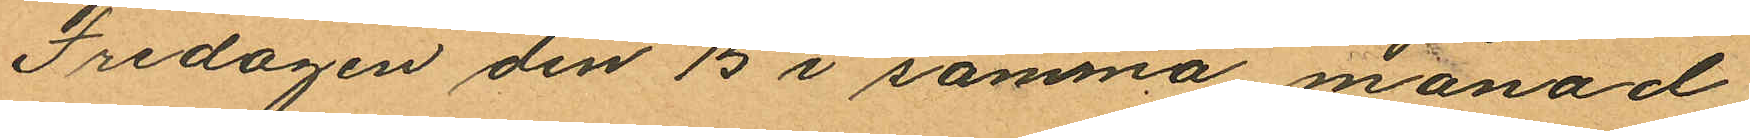Fredagen den 15 i samma månad
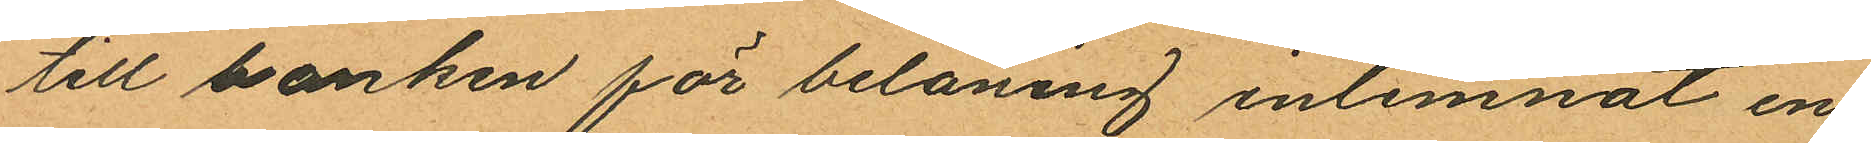till banken för belåning inlemnat en
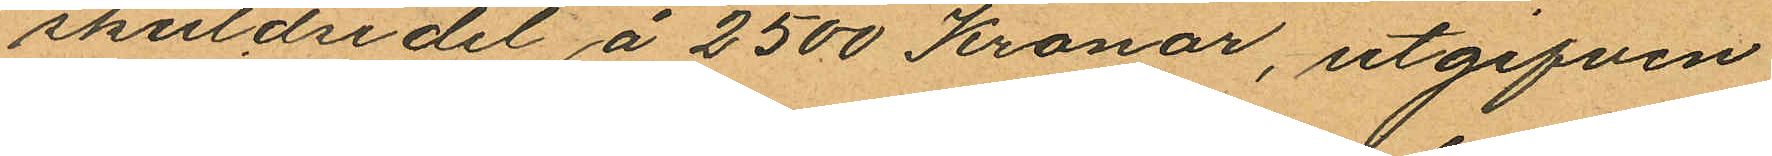skuldsedel å 2500 Kronor, utgifven
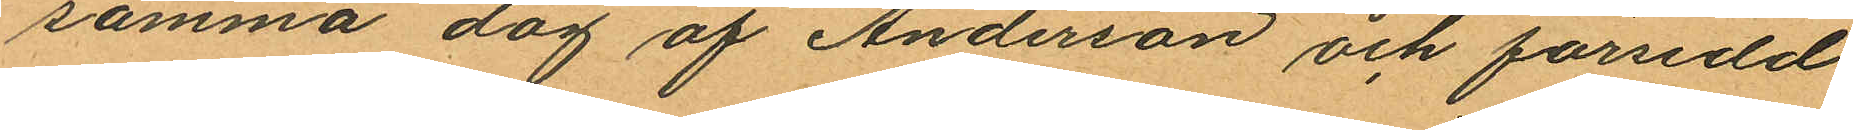samma dag af Anderson och försedd
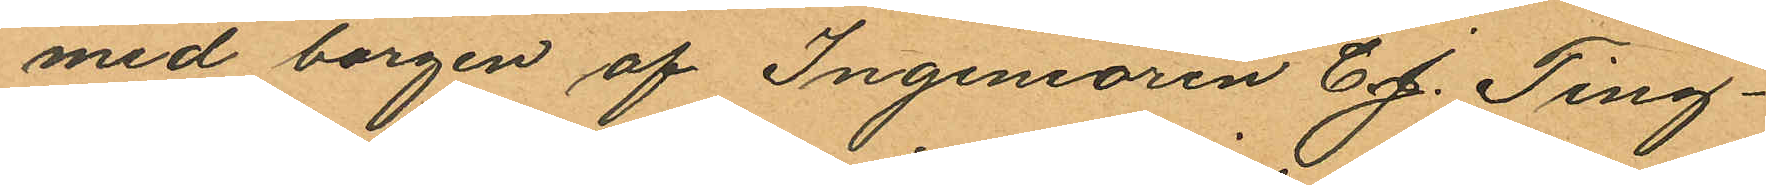med borgen af Ingeniören C. J. Ting¬
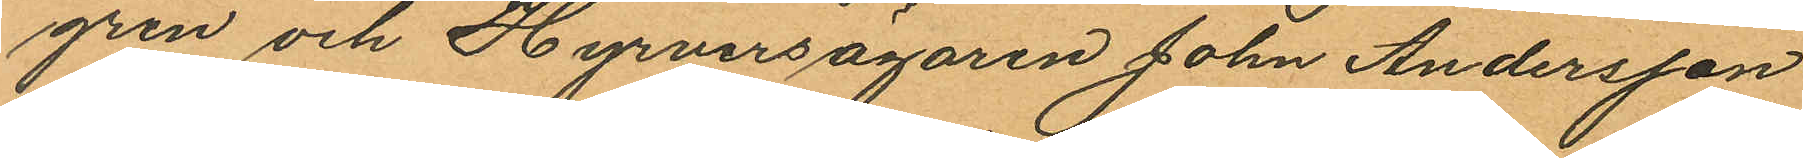gren och Hyrversägaren John Andersson
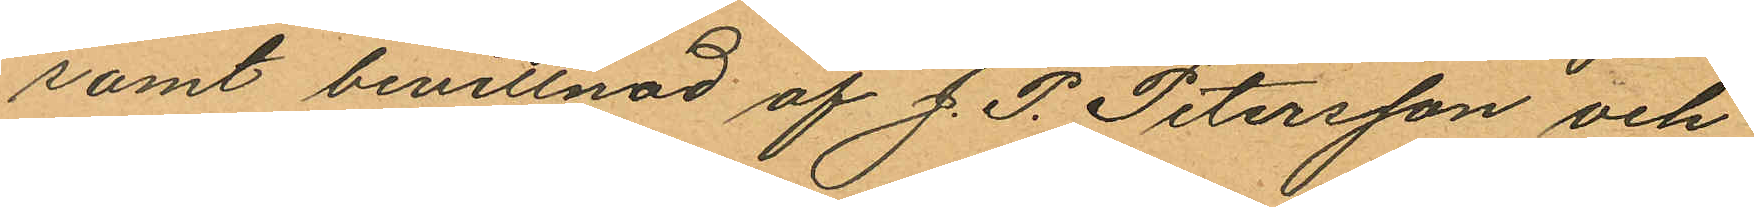samt bevittnad af J. P. Petersson och
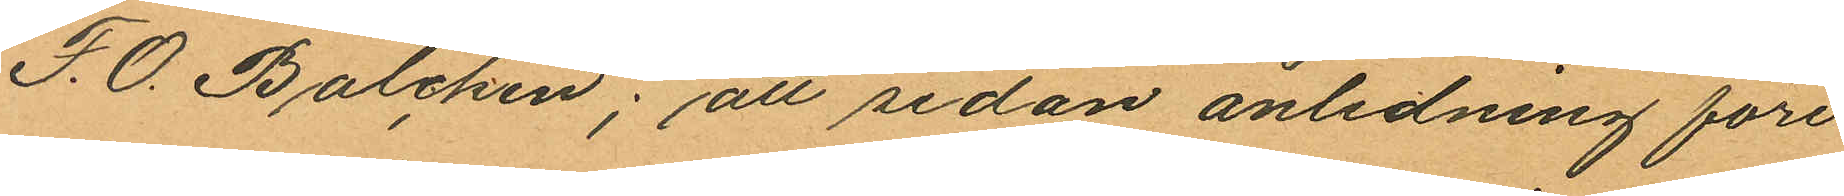F.O. Balchen; att sedan anledning före
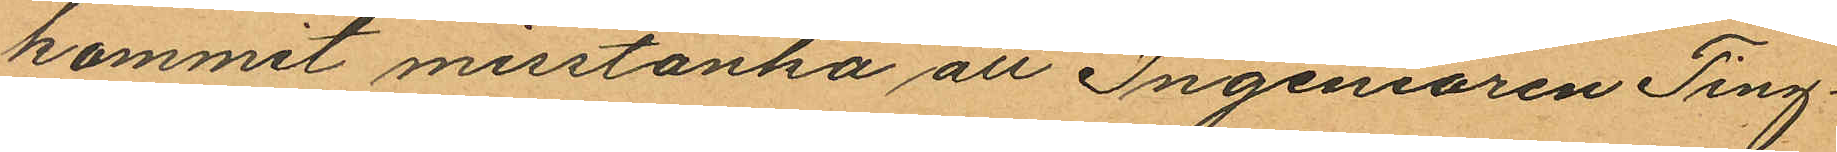kommit misstänka att Ingeniören Ting¬
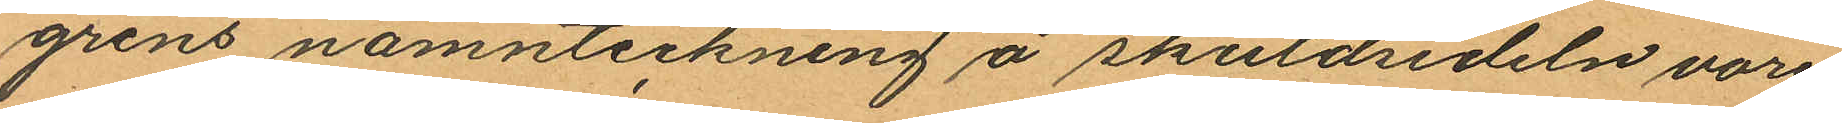grens namnteckning å skuldsedeln vore
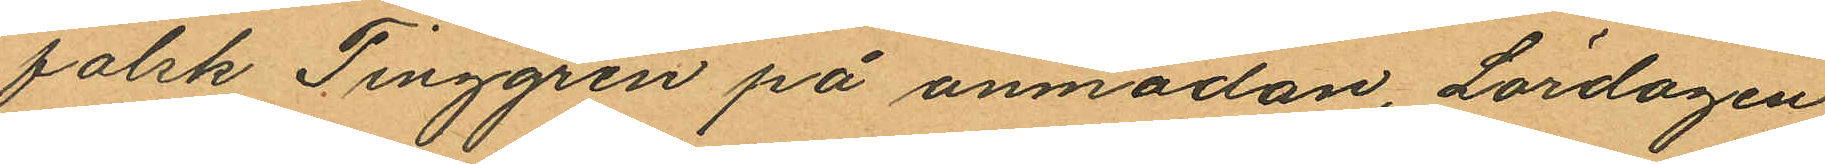falsk Tinggren på anmodan, Lördagen
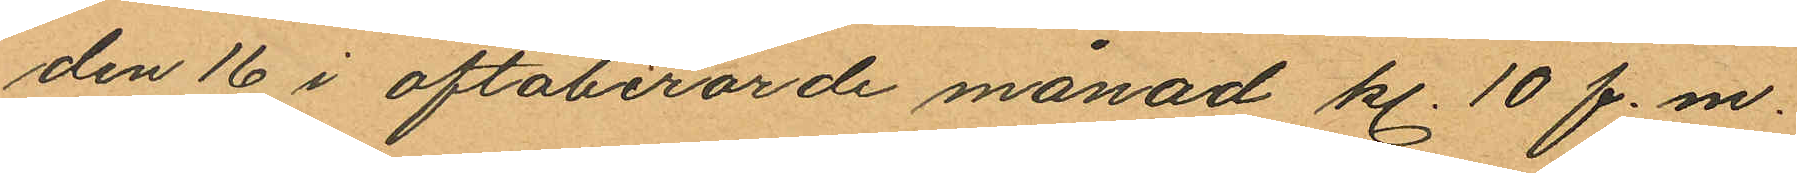den 16 i oftaberörde månad kl. 10 f.m.
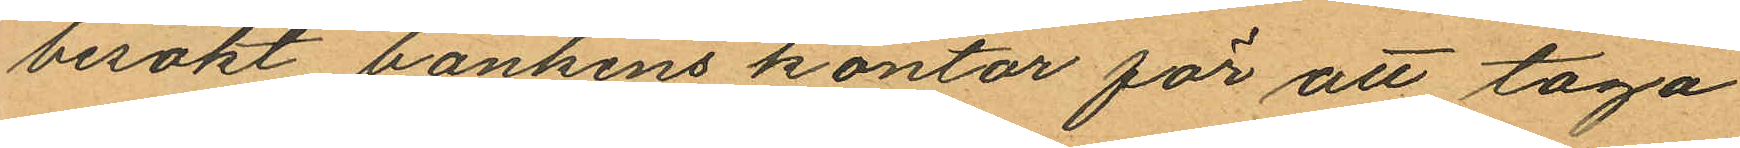besökt bankens kontor för att taga
